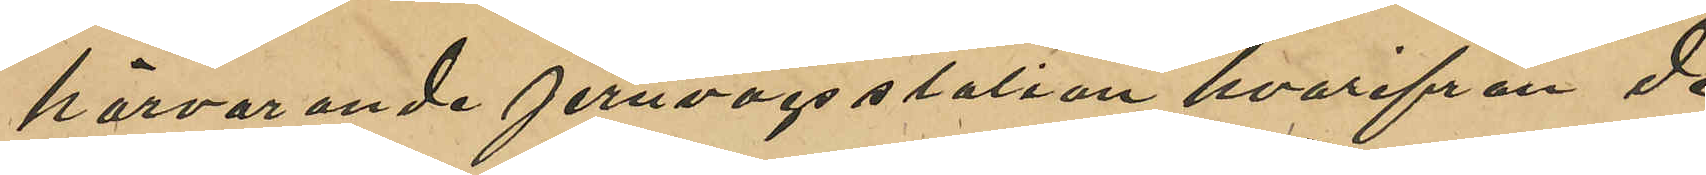härvarande jernvägsstation hvarifrån de
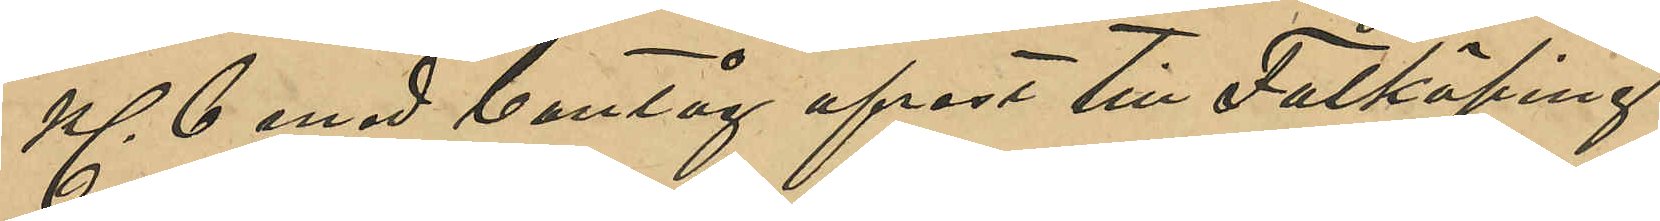Kl 6 med bantåg afrest till Falköping.
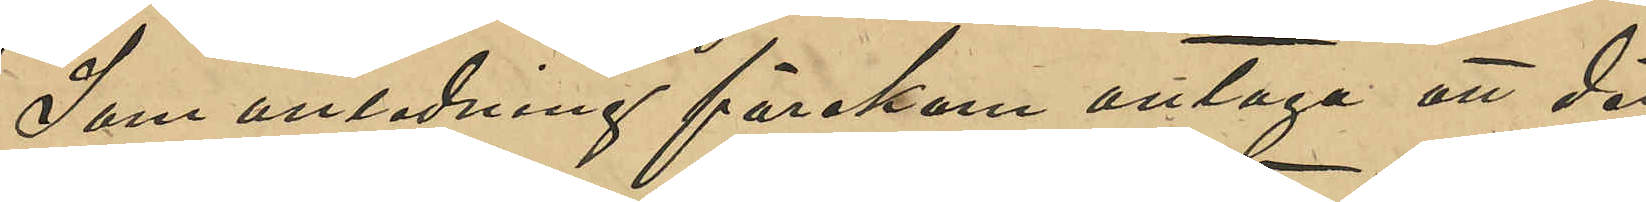Som anledning förekom antaga att det
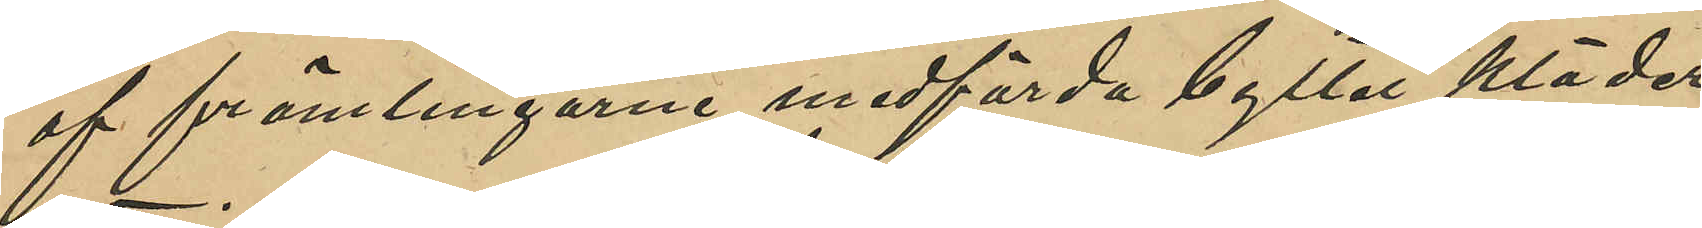af främlingarne medförda byltet kläder
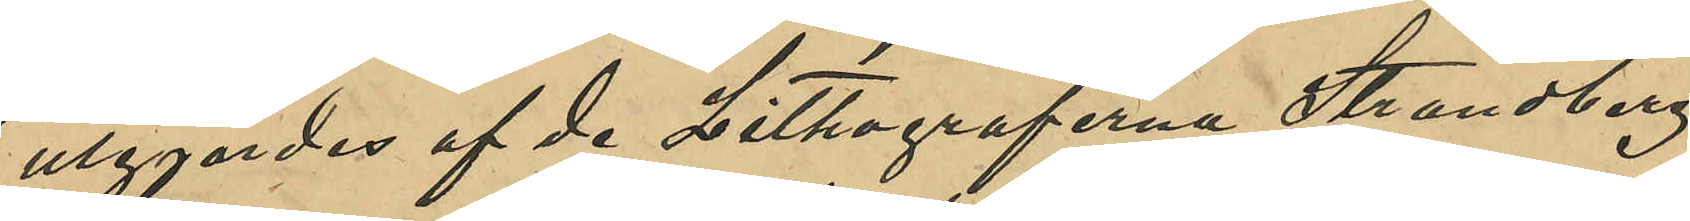utgjordes af de Lithograferna Strandberg,
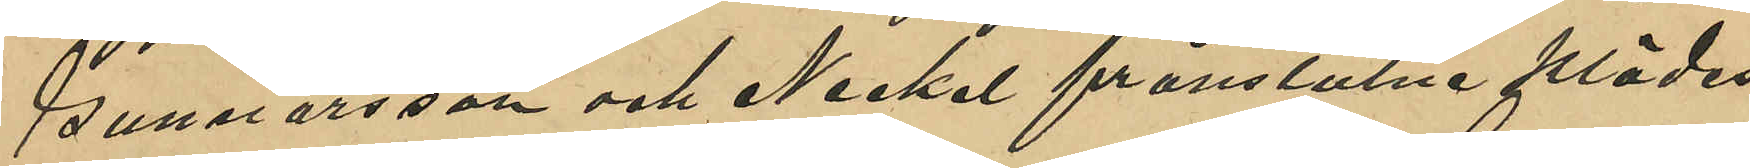Gunnarsson och Nickel frånstulne klädes¬
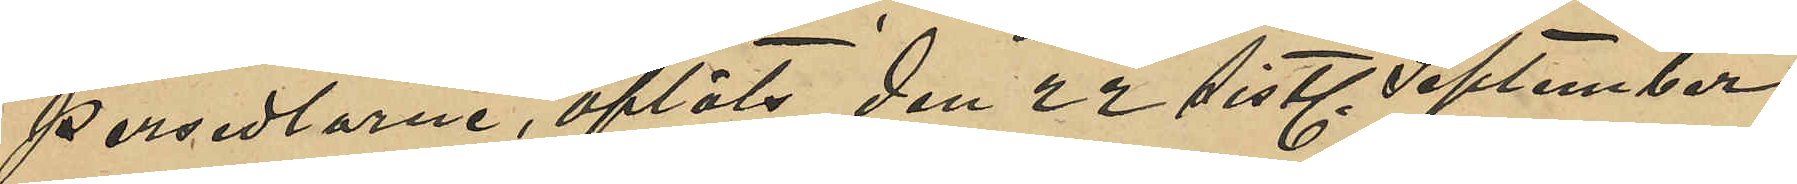persedlarne, afläts den 22 sistl. September
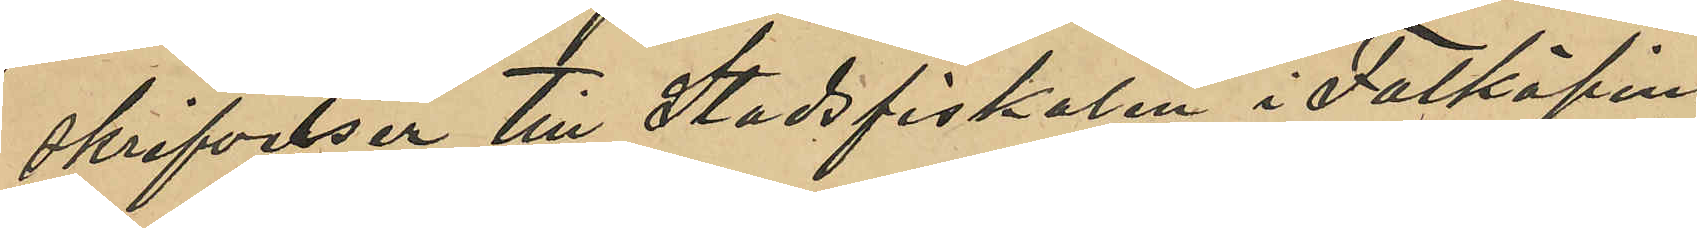skrifvelser till Stadsfiskalen i Falköping
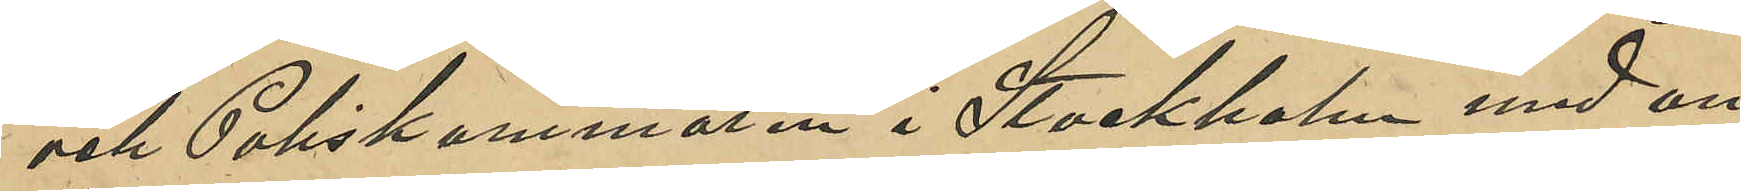och Poliskammaren i Stockholm med an¬
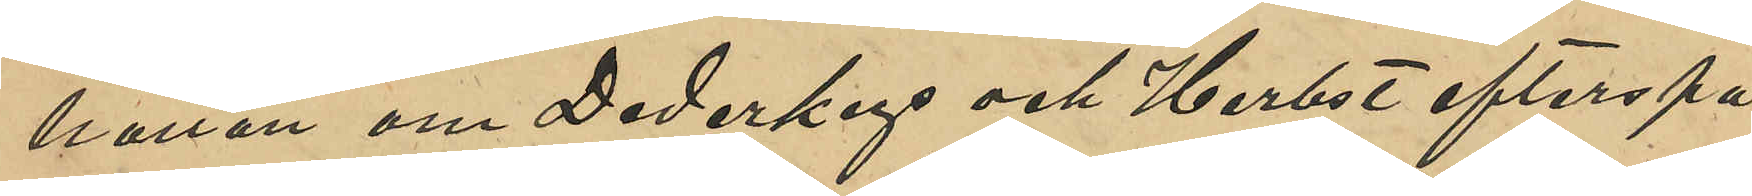hållan om Dedekeys och Herbst efterspa¬
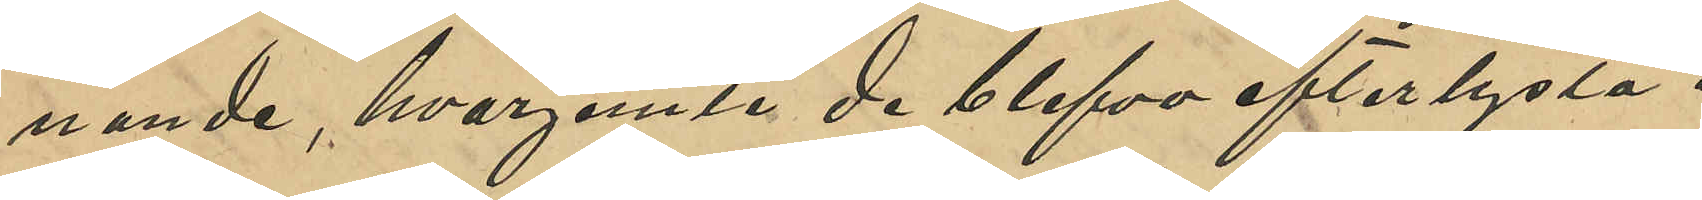nande, hvarjemte de blefvo efterlysta i
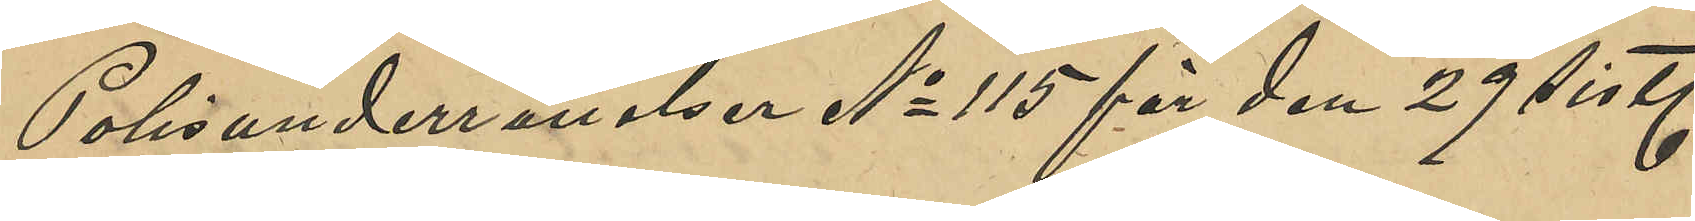Polisunderrättelser No 115 för den 29 sistl.
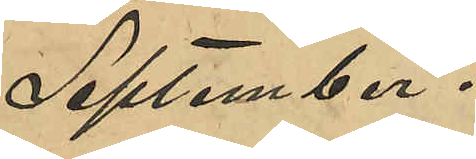September.
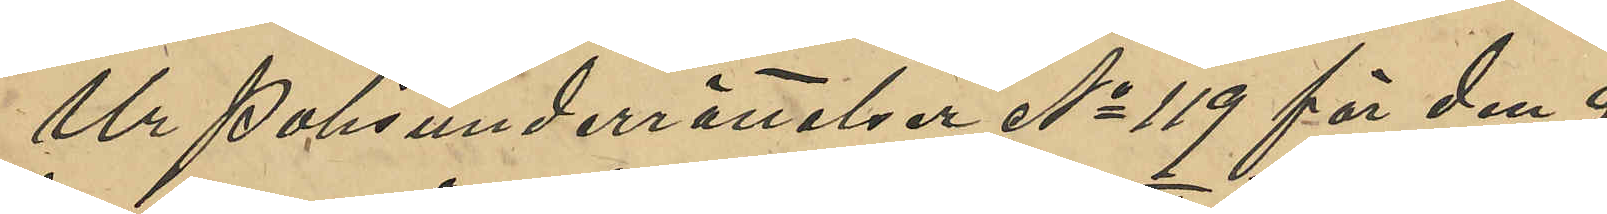Ur Polisunderrättelser No 119 för den 9
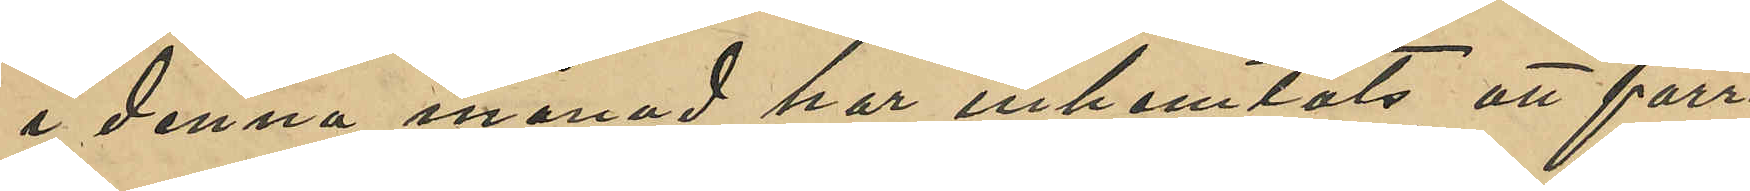i denna månad har inhemtats att förre
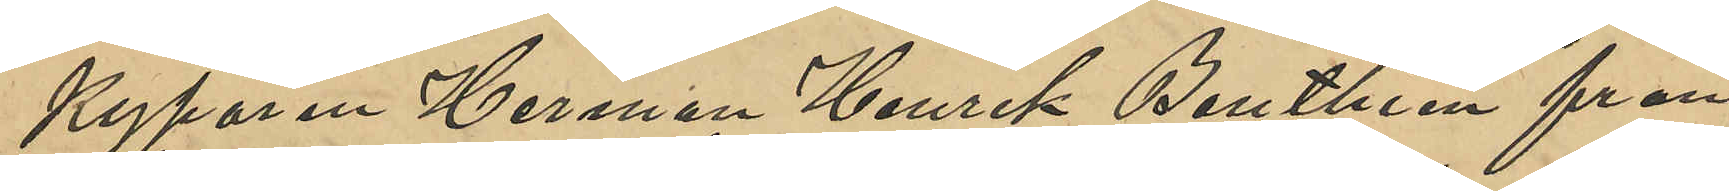Kyparen Herman Henrik Benthien från
